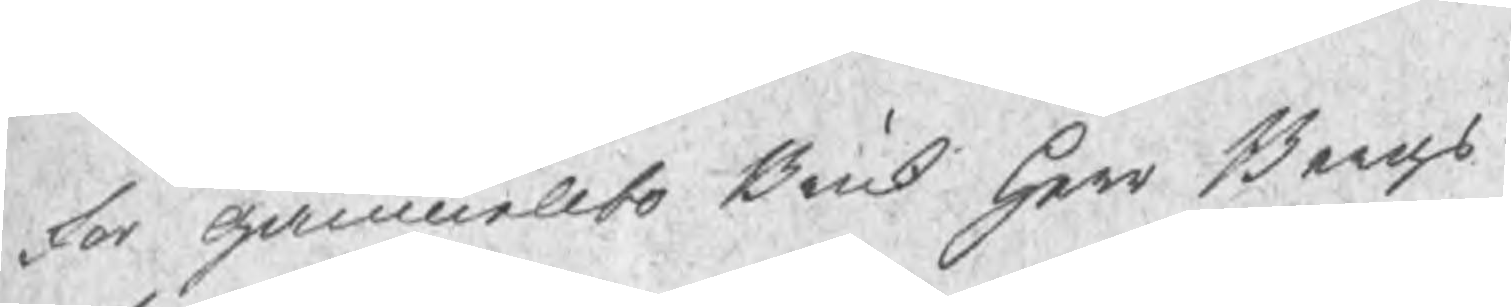For Gammellbo Bruk Herr Bergs
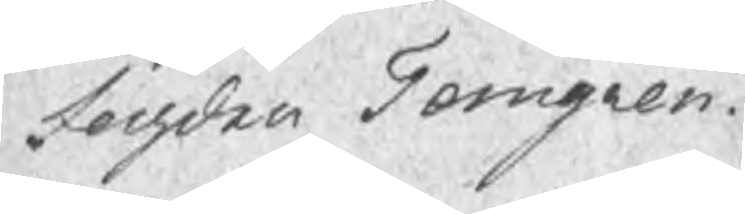fogden Torngren
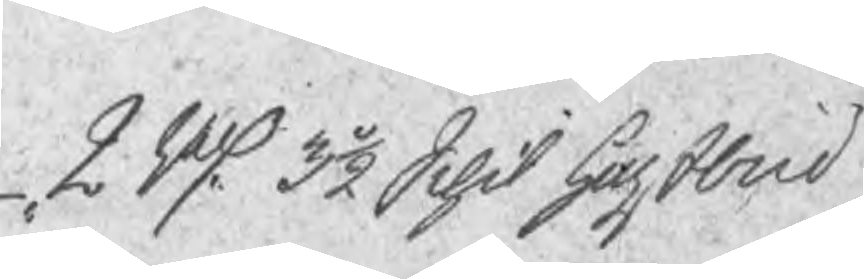2 Rd 3½ Schil hogstbud
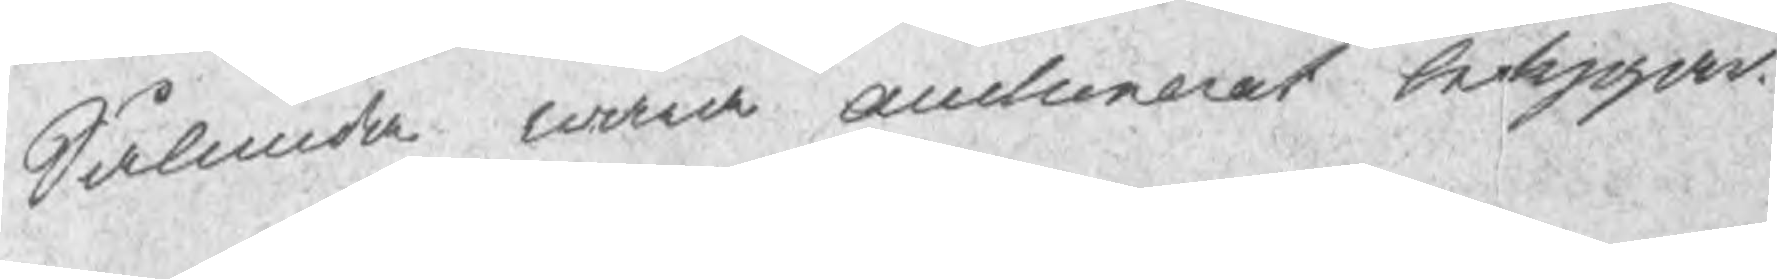Sålunda war auctionerat betygas.
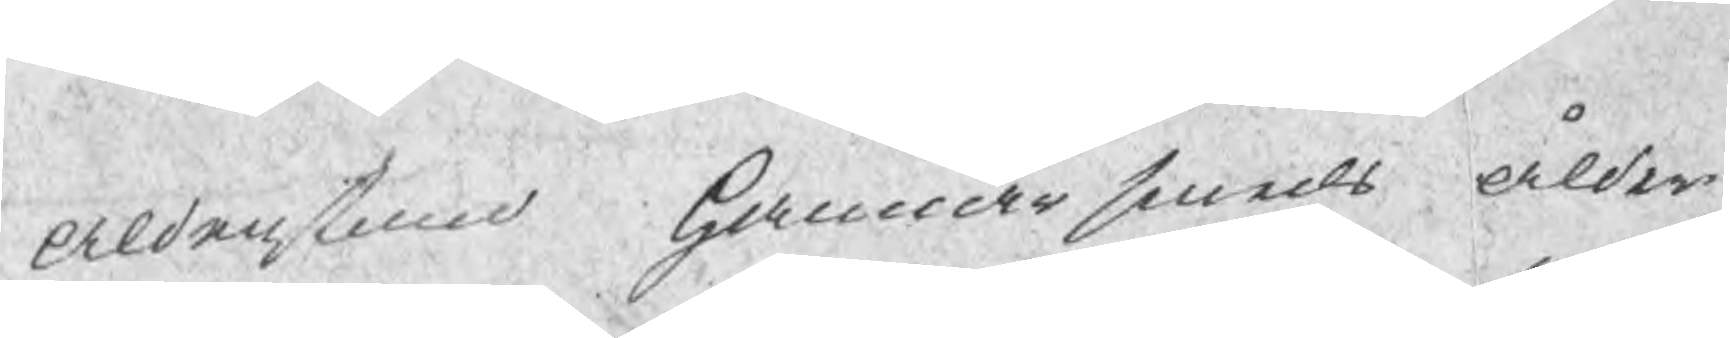Aldenstund Hammarsmeds ålder¬
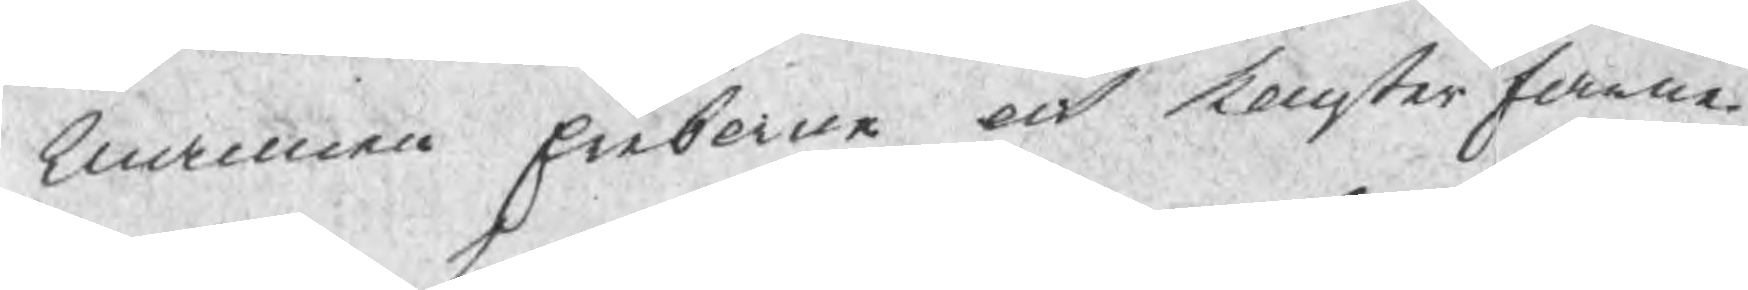mannen Enborne och konsterfarne
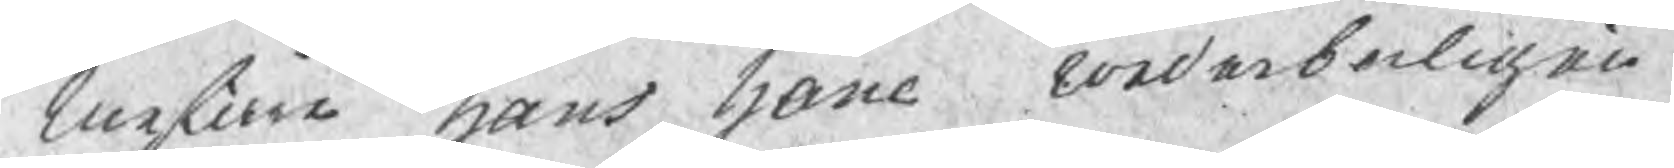Mestare Hans Hane wederborligen
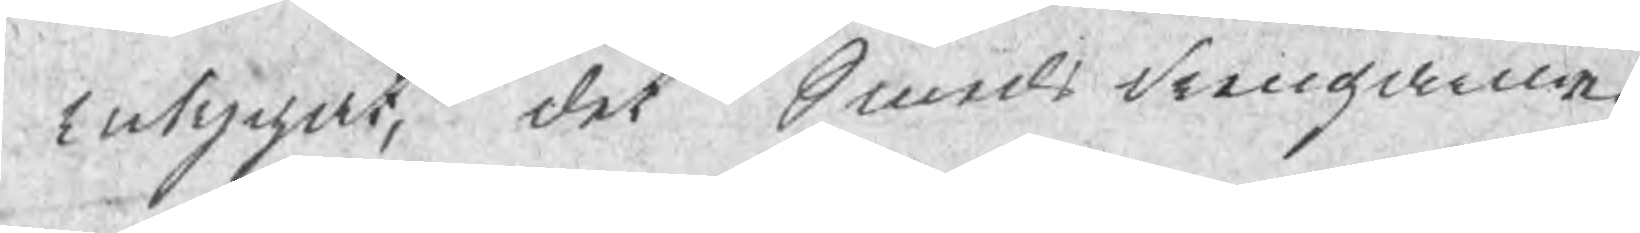intygat, det Smedsdrengarne
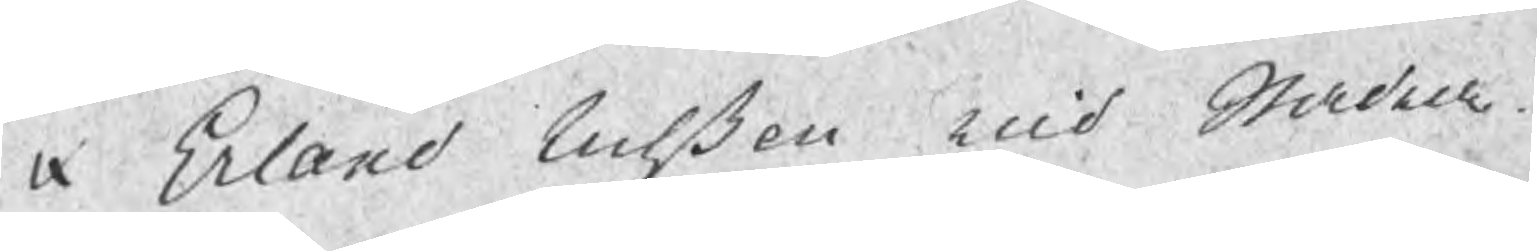Erland Nilßon uid Stadra
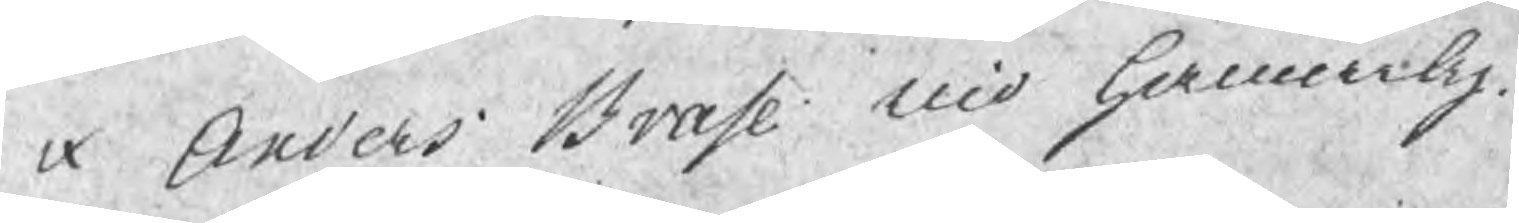Anders Brase uid Hamarby
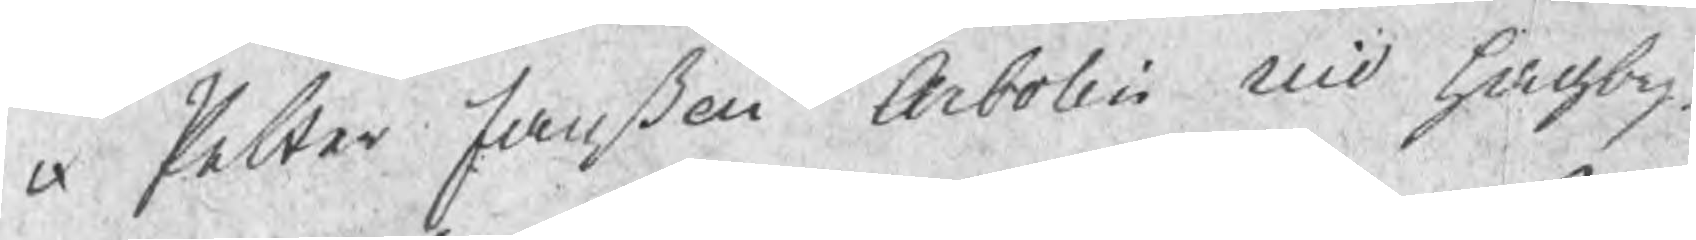Petter Janßon Arbolin uid Hagby
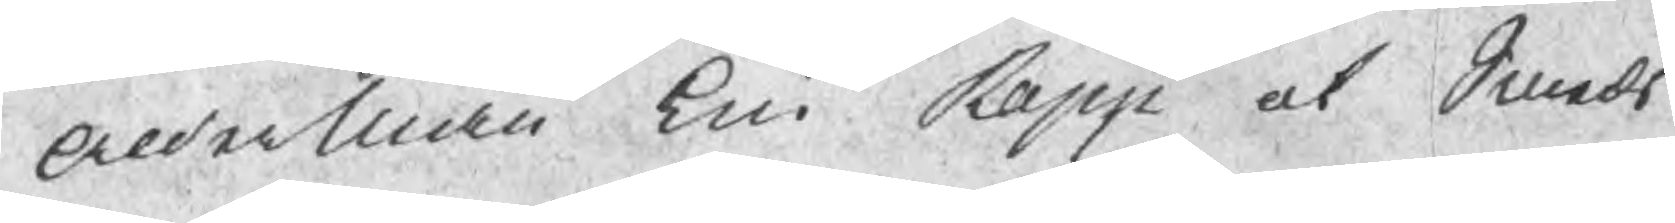AlderMan Eric Rapp at Smeds
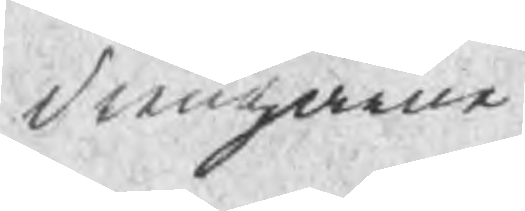drengarne
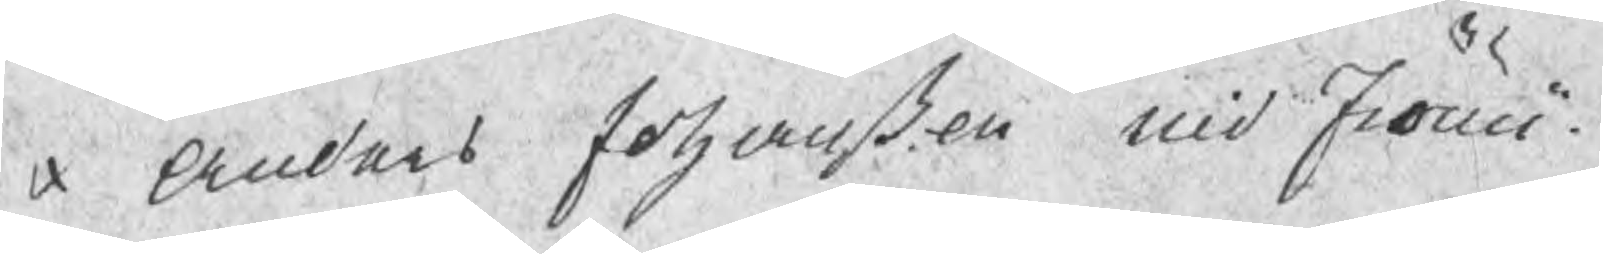Anders Johanßon uid Fröwi
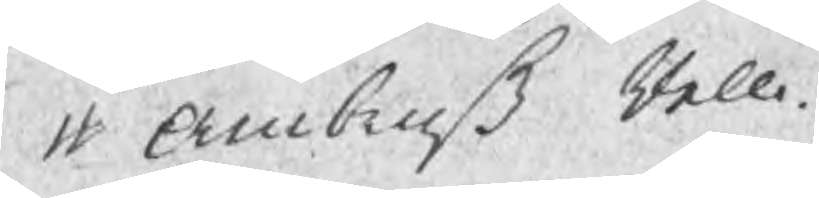Ambruß Rell
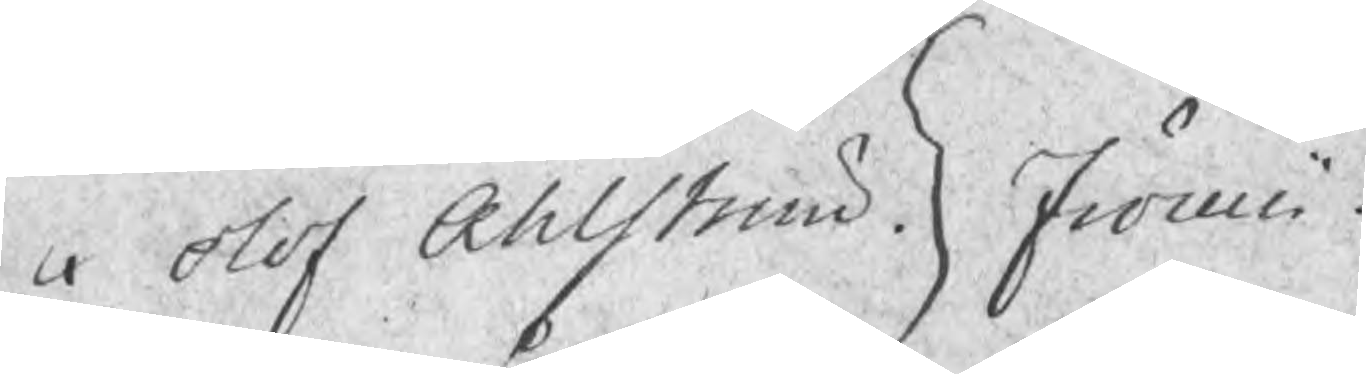Olof Ahlström Fröwi
